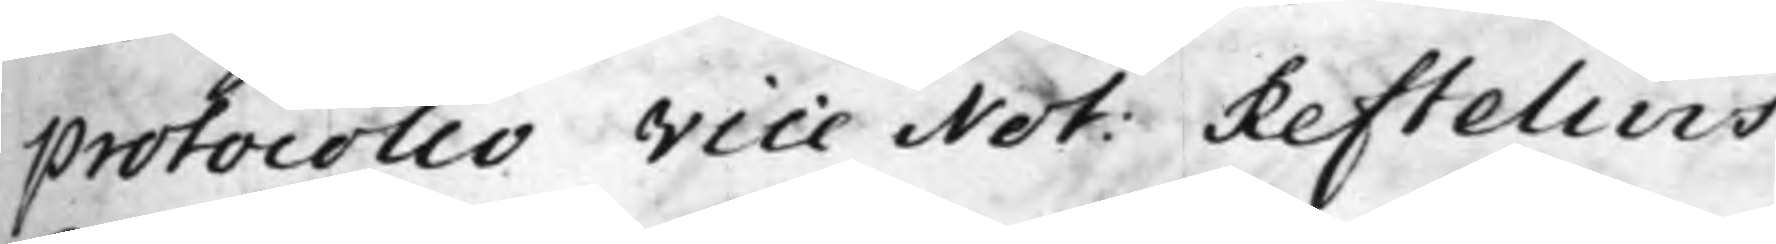protocollo Vice Not. Reftelius.
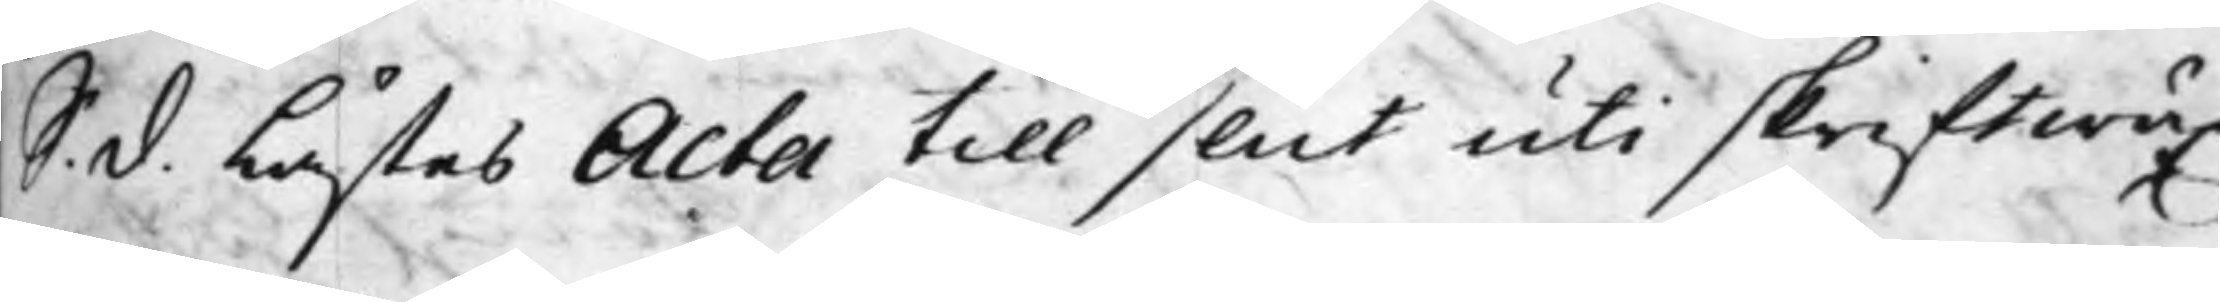S. d. Lästes Acta till slut uti skriftwäx¬
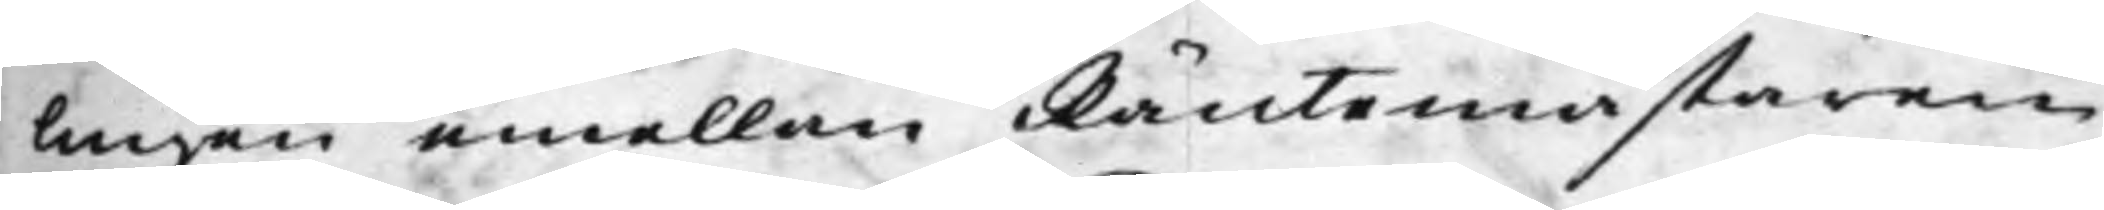lingen emellan Räntemästaren
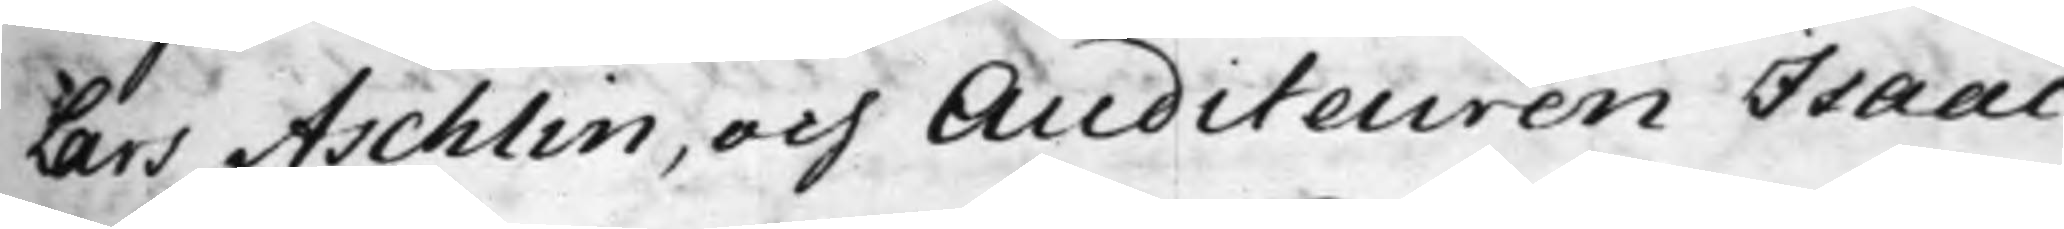Lars Aschlin, och Auditeuren Isaac
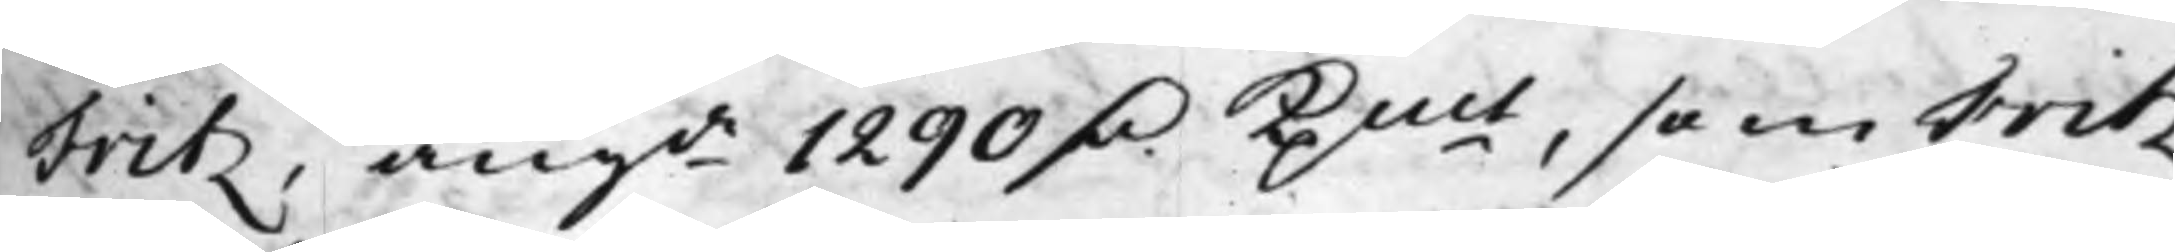Fritz, angde 1290 D.r Kpmt, som Fritz
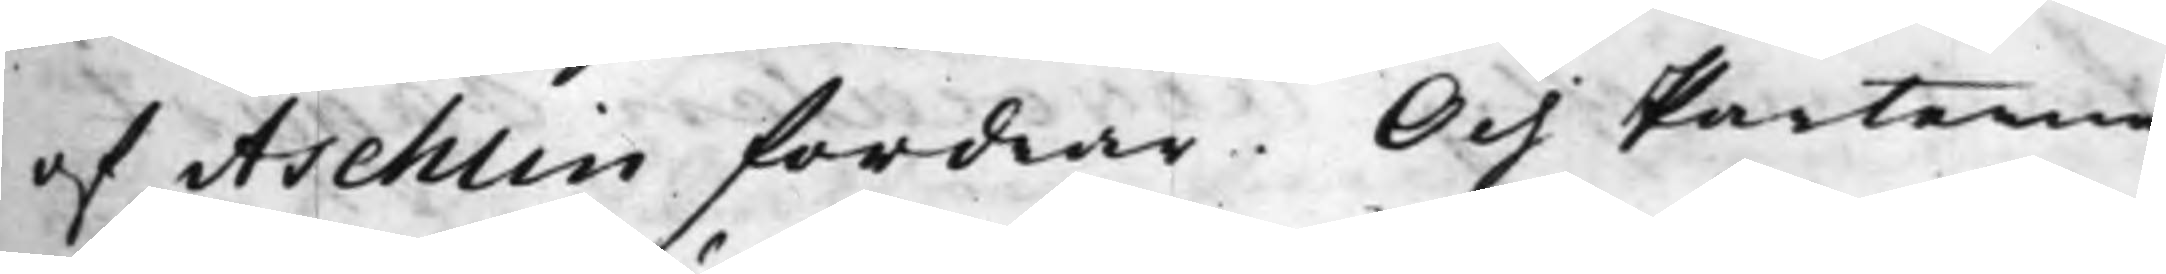af Aschlin fordrar. Och Parterne
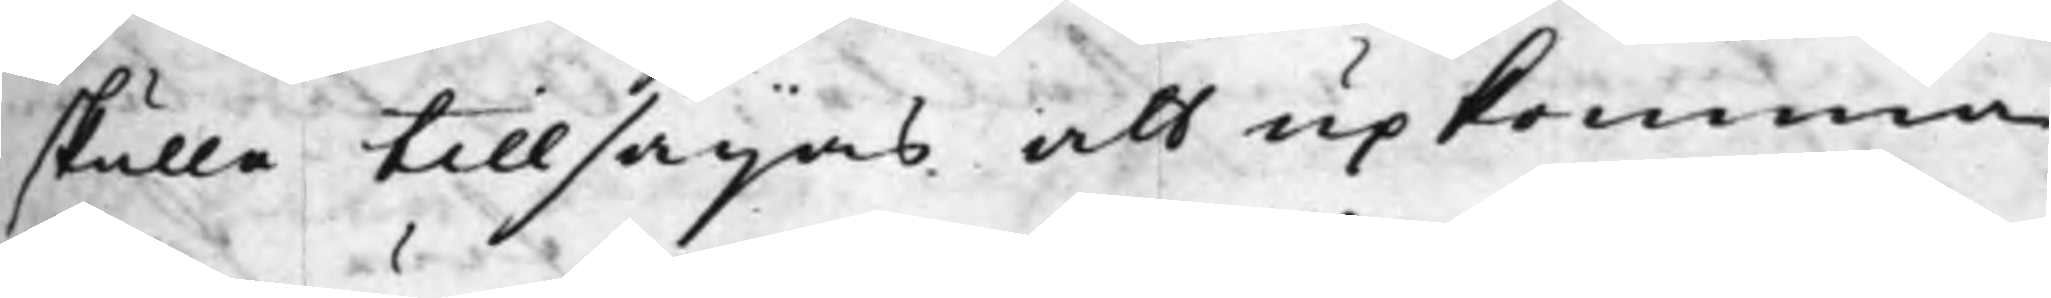skulle tillsägas att upkomma
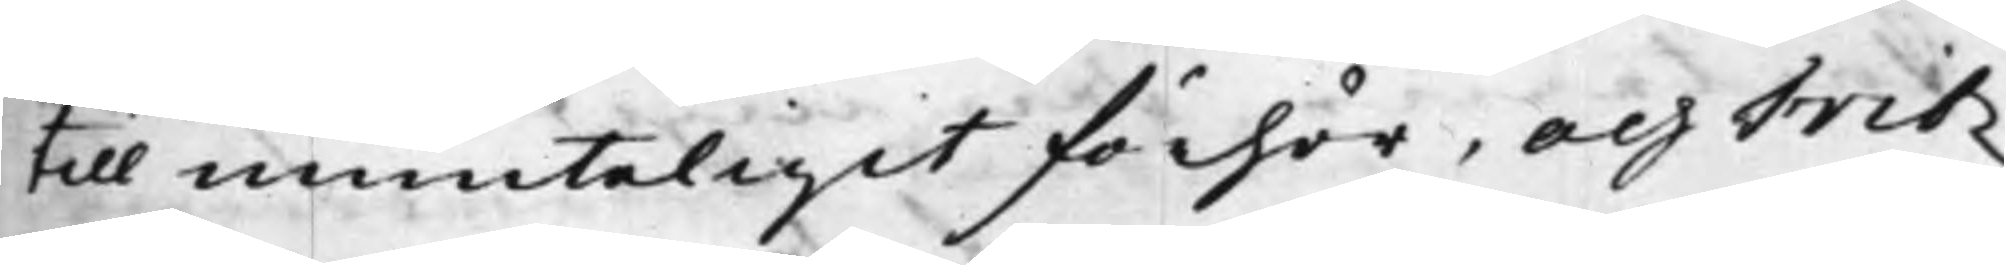till munteligit förhör, och Fritz
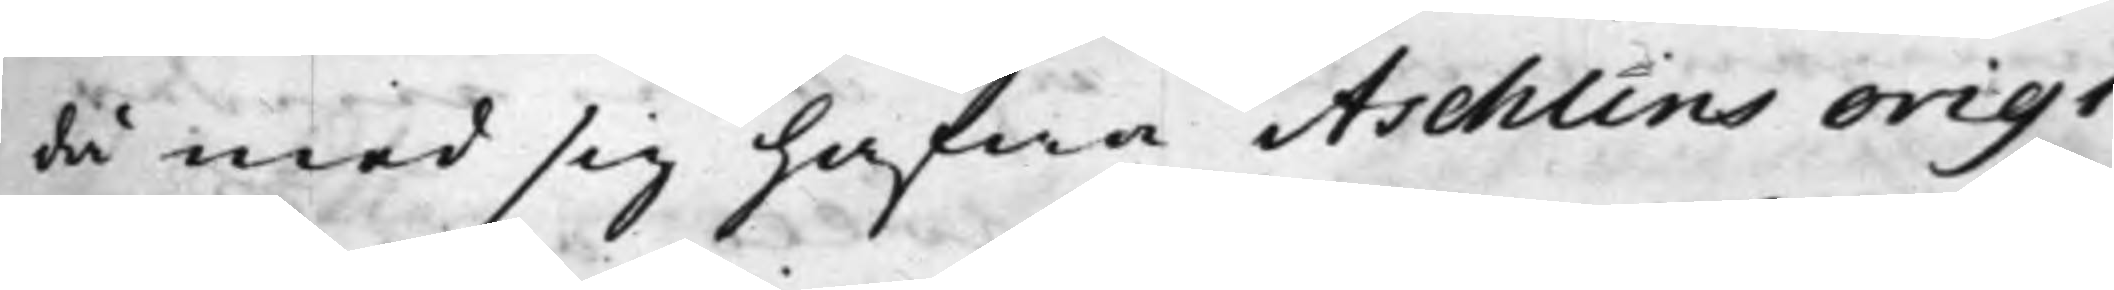då med sig hafwa Aschlins origi¬
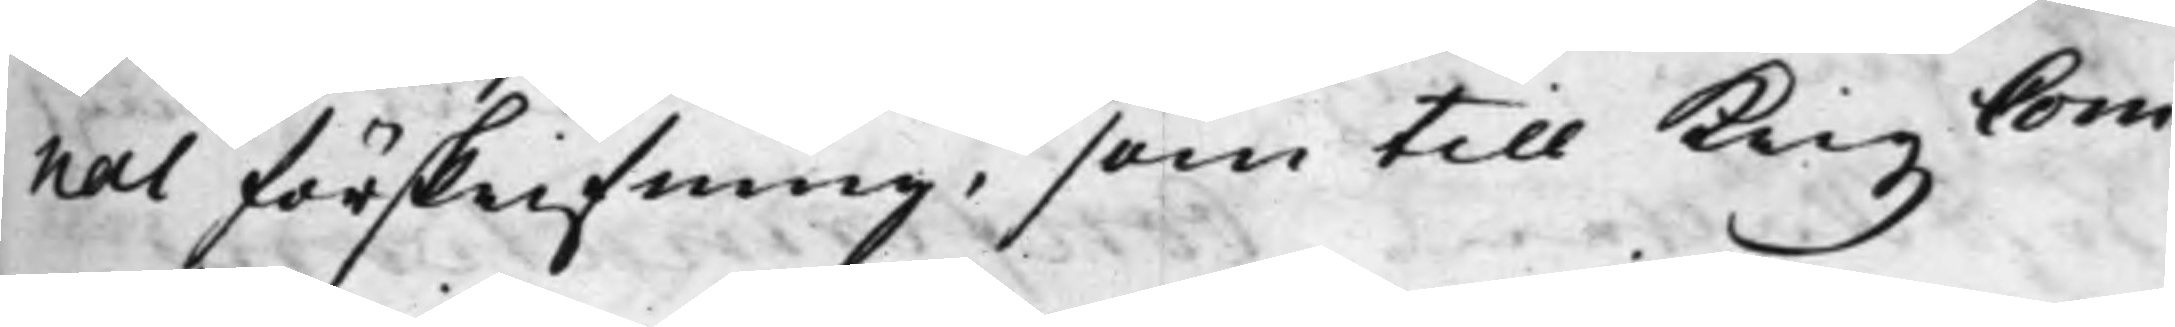nal förskrifning, som till Krigz Com¬
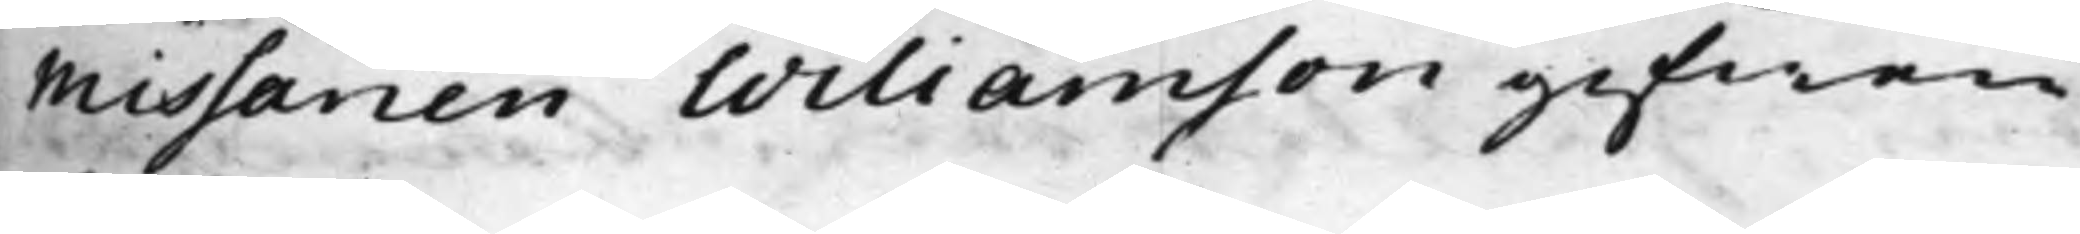missarien Williamson gifwen
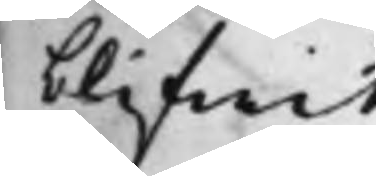blifwit.
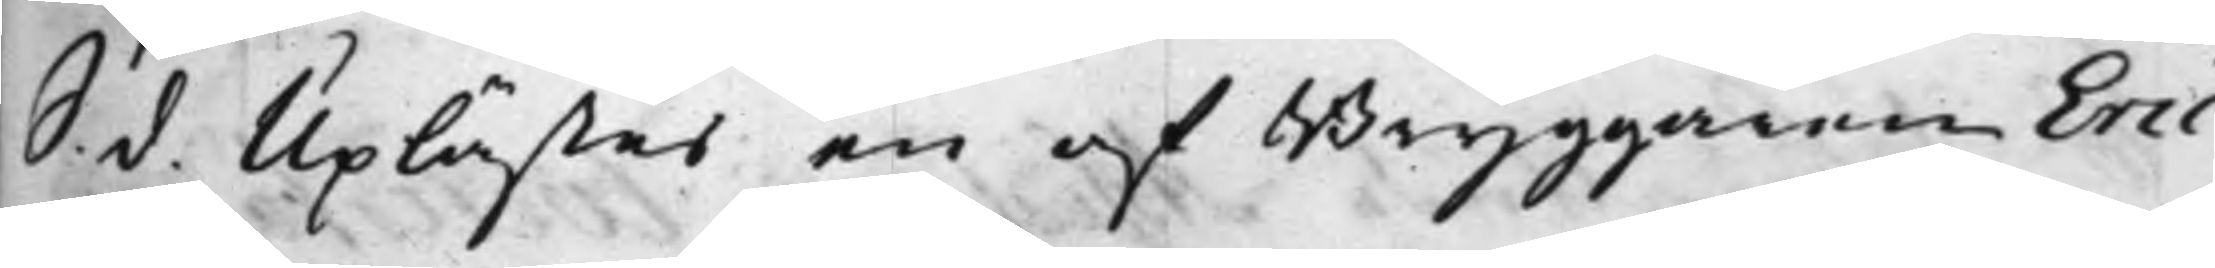S. d. Uplästes en af Bryggaren Eric
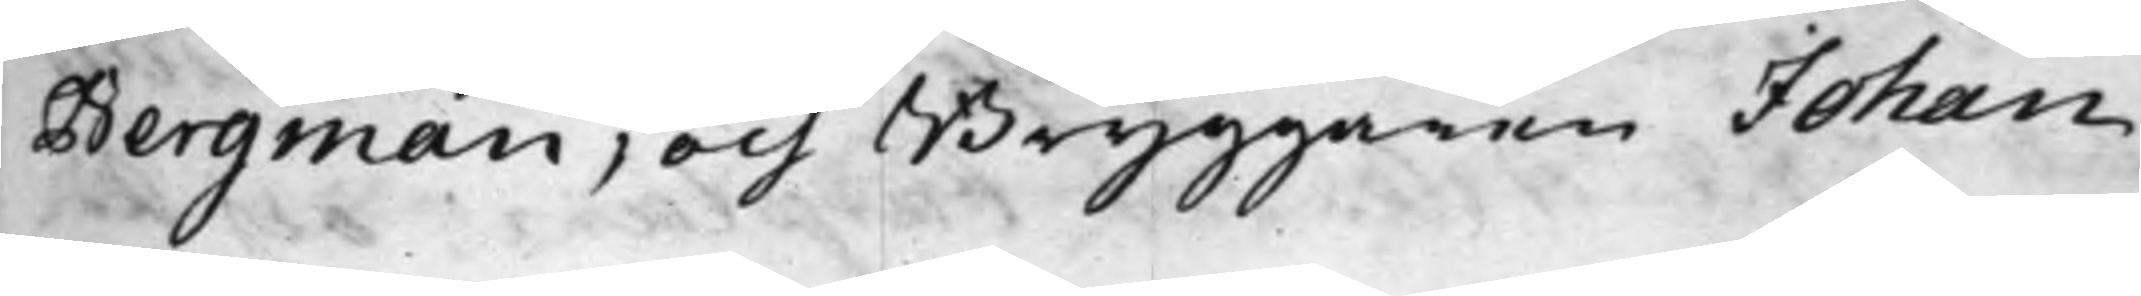Bergman, och Bryggaren Johan
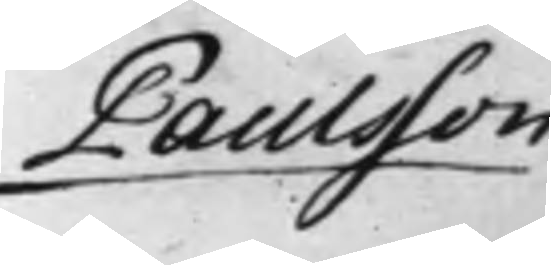Paulsson
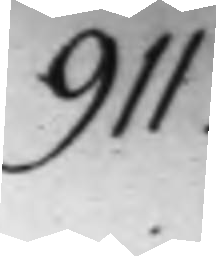911.
